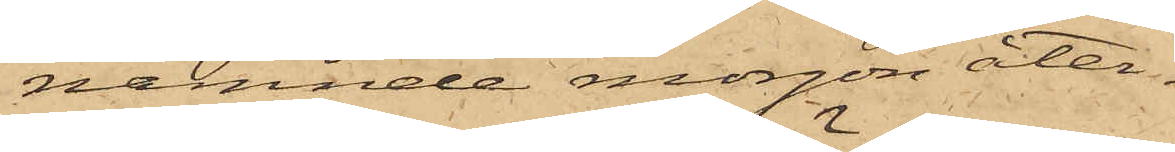nämnde morgon åter¬
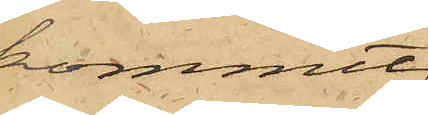kommit
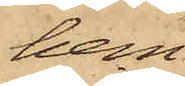hem
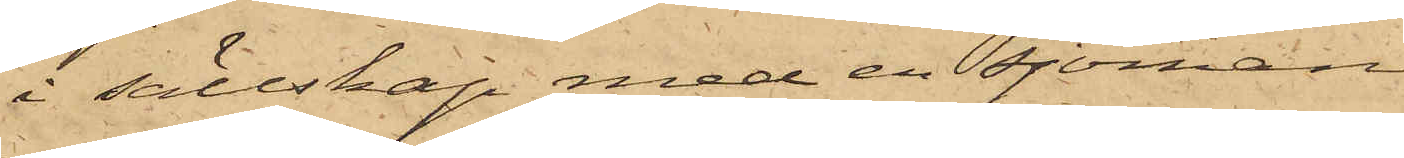i sällskap med en sjöman
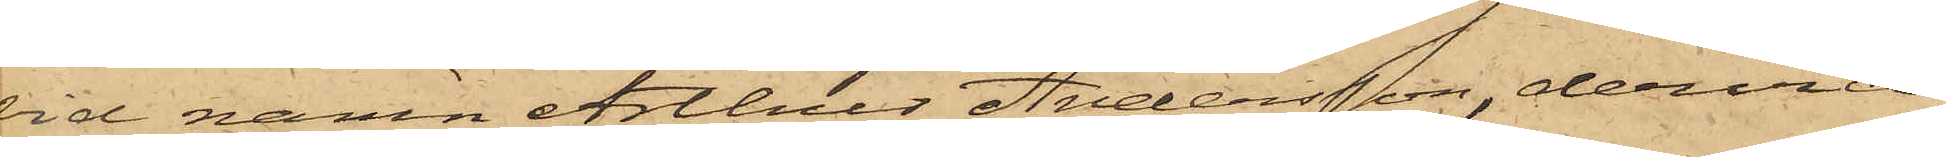vid namn Arthur Andersson, dervid
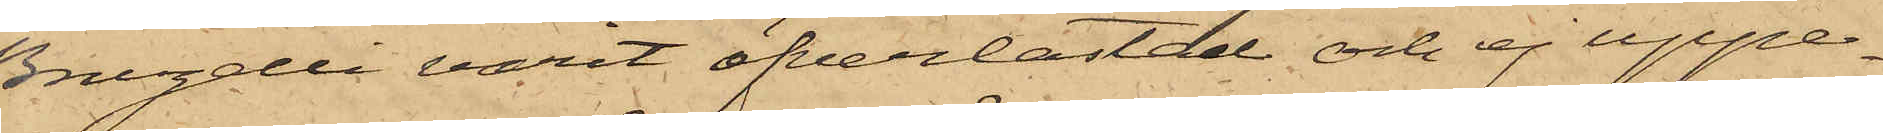Bruzelli varit öfverlastad och ej uppe¬
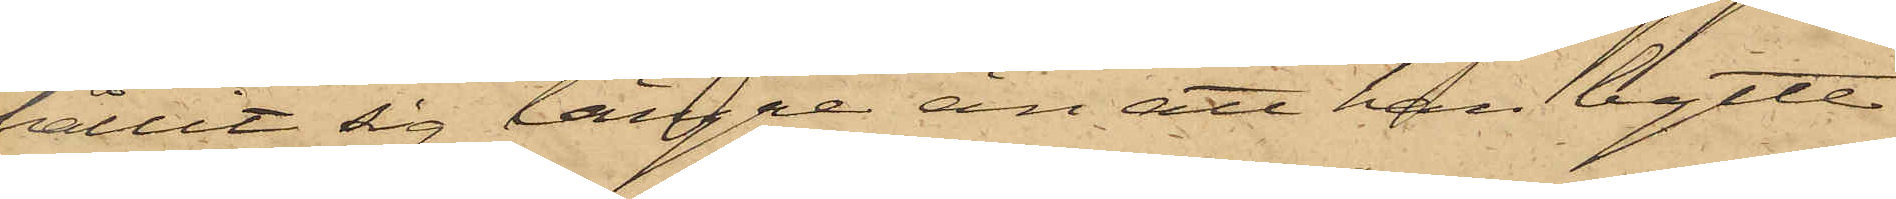hållit sig längre än att han bytte
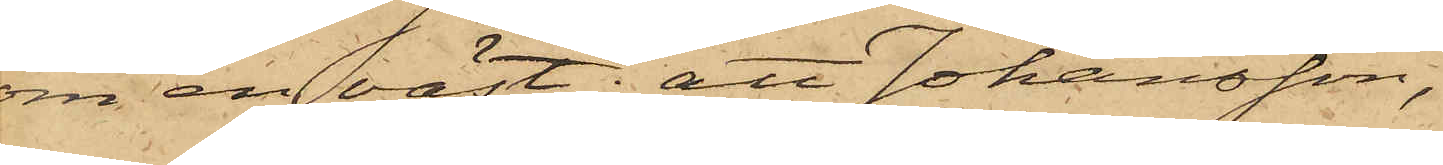om en väst; att Johansson,
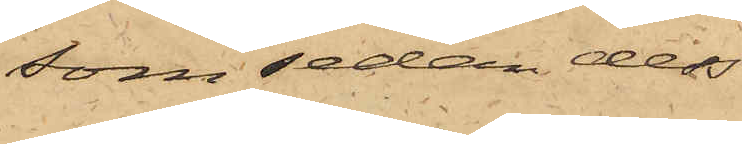som sedan dess
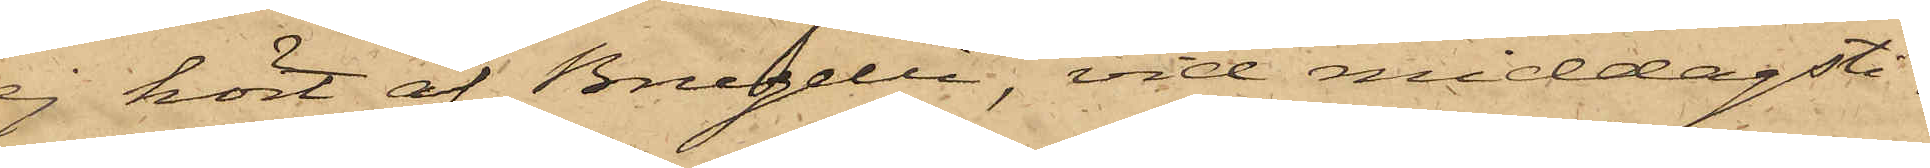ej hört af Bruzelli, vid middagsti¬
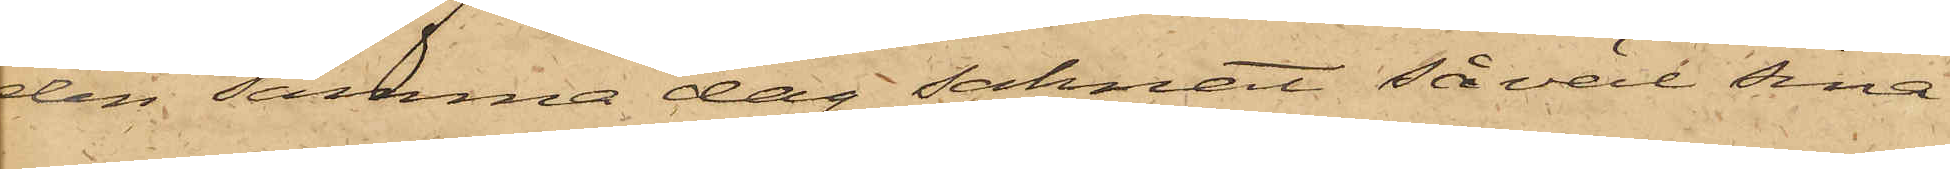den samma dag saknat såväl sina
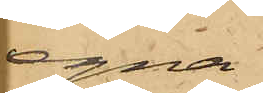egna
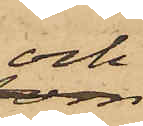och
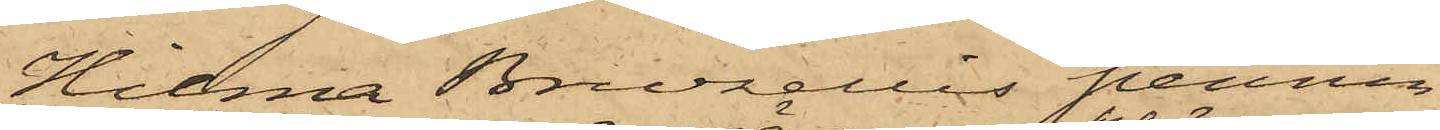Hilma Bruzellis pennin¬
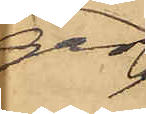gar,
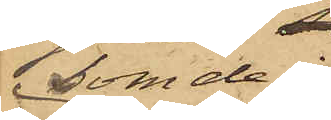som de i
